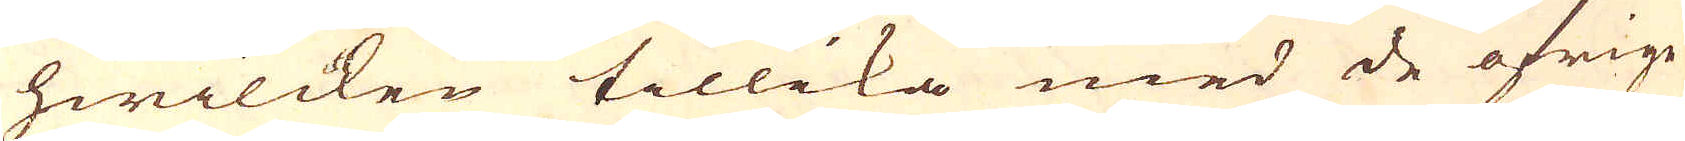hwilcken tillika med de öfrige
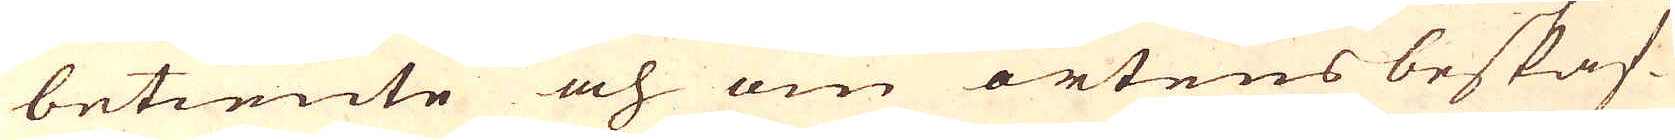betiente och om ortens beskaf-
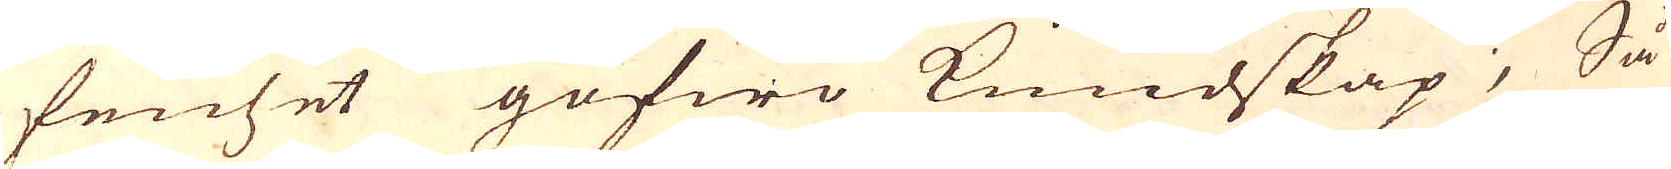fenhet gofwo kundskap; Så
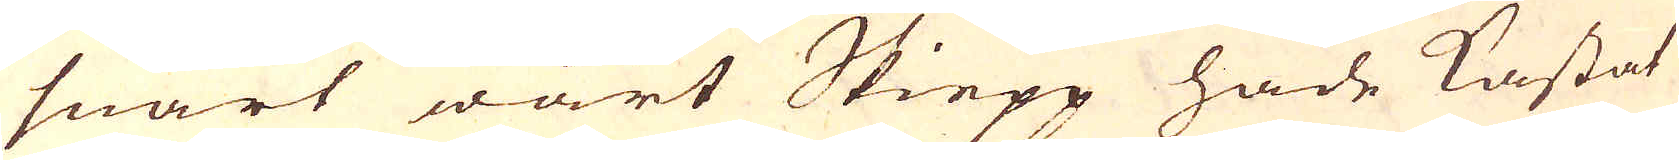snart wårt Skiepp hade kastat
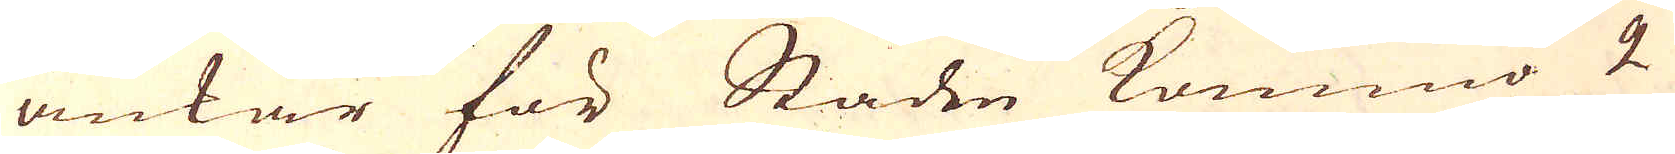ankar för Staden kommo 2
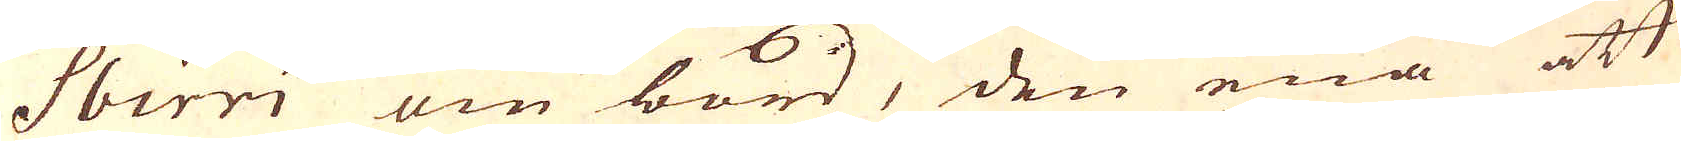Sbirri om bord, den ena att
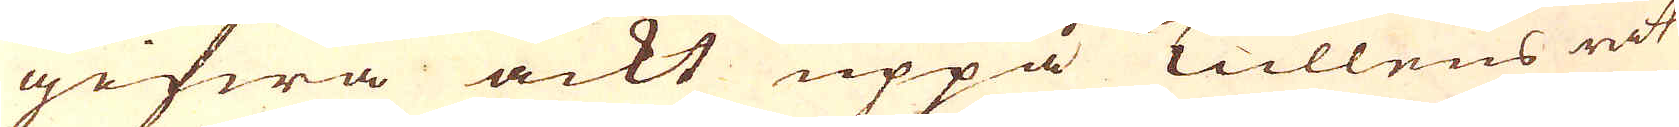gifwa ackt uppå Tullens rät-
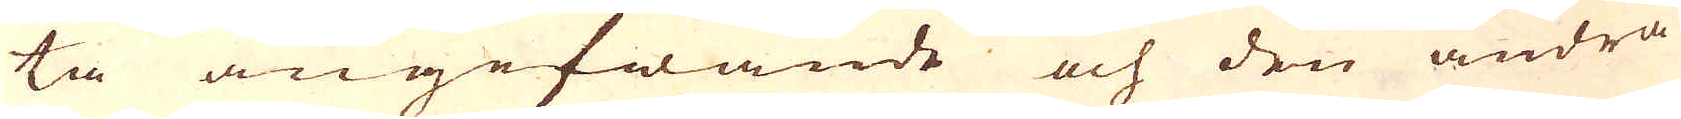ta angifwande och den andra
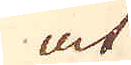at
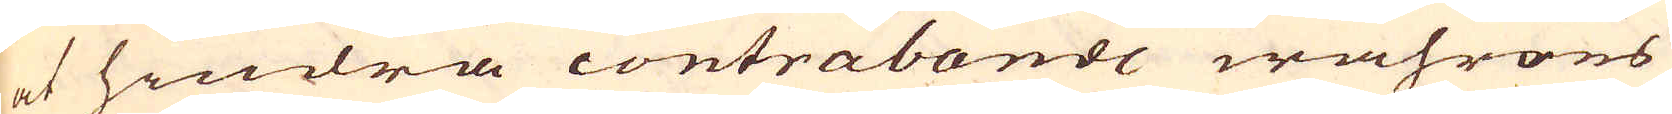at hindra contrabande wahrors
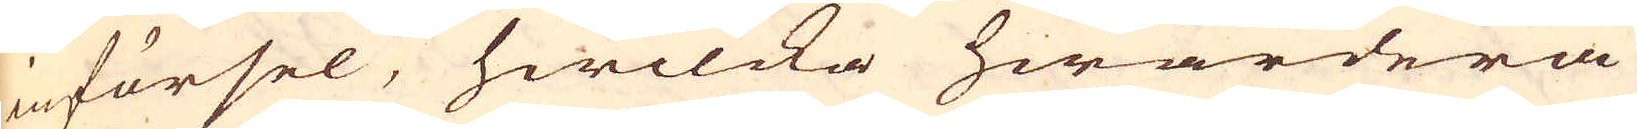införsel, hwilcka hwardera
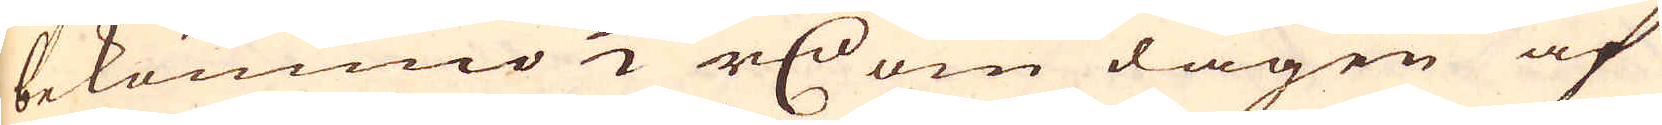bekommo 1/2 r:dr om dagen af
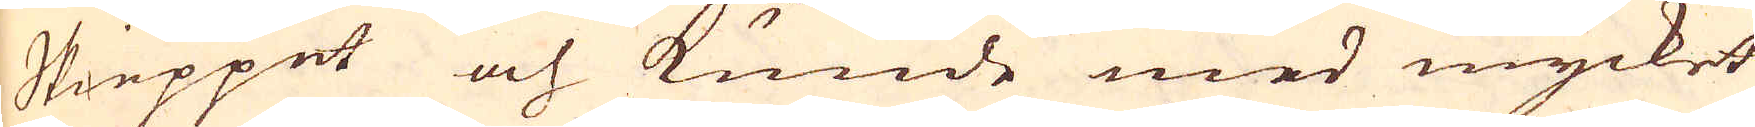Skieppet och kunde med mycket
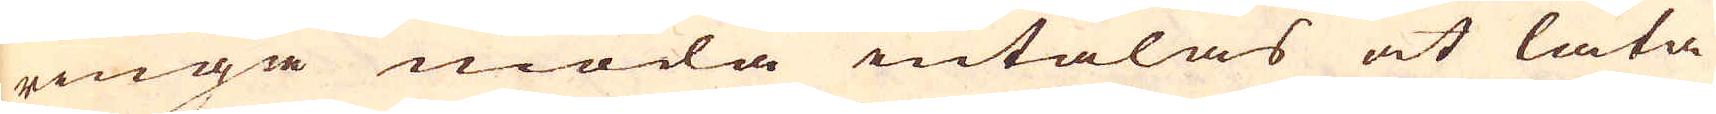ringa möda intalas at låta
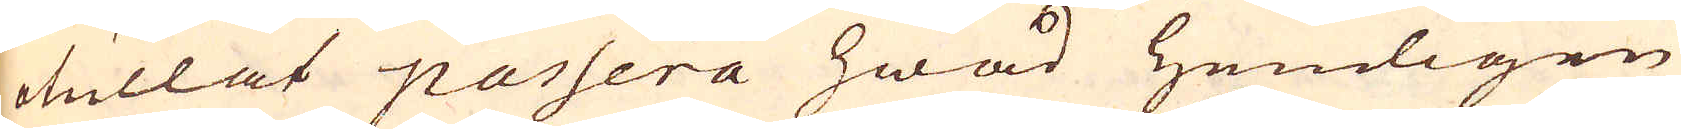otullat passera hwad Hemligen
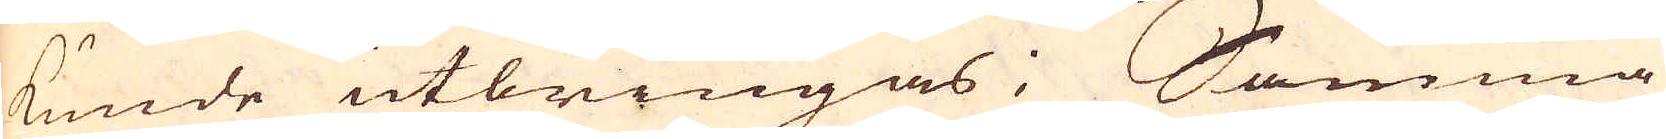kunde utbringas; Samma
